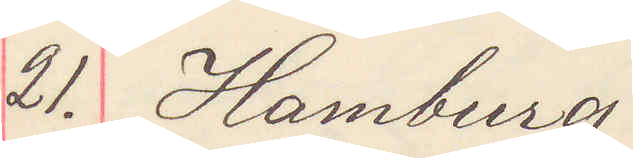21. Hamburg
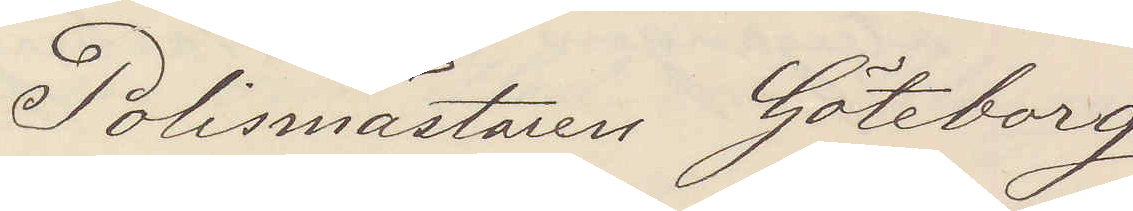Polismästaren Göteborg
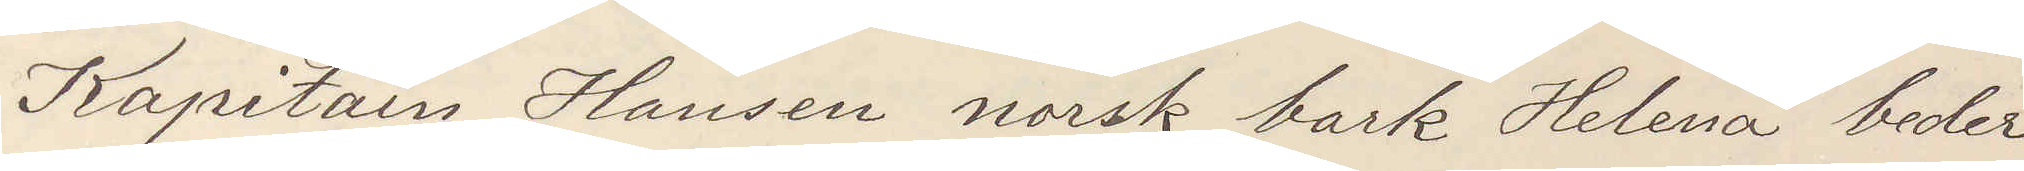Kapitain Hansen norsk bark Helena beder
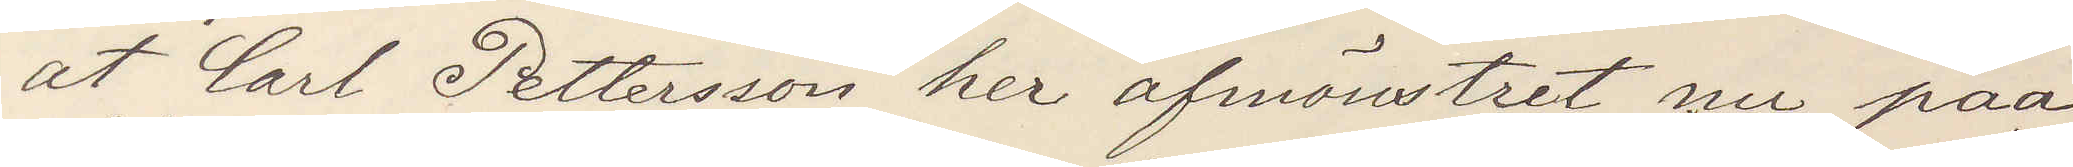at Carl Pettersson her afmönstret nu paa
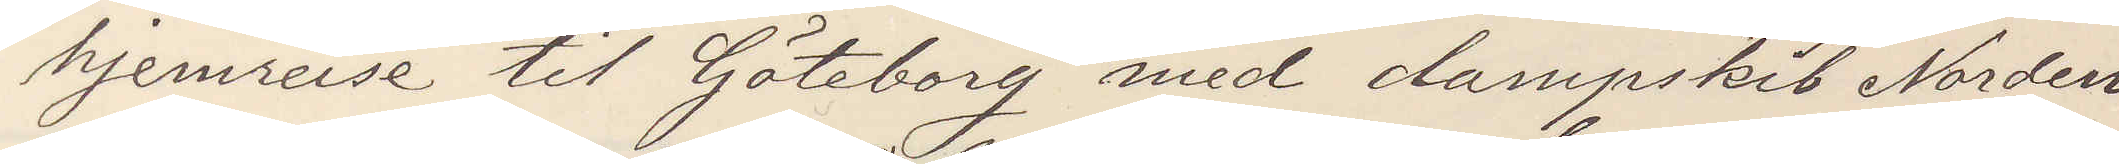hjemreise til Göteborg med dampskib Norden
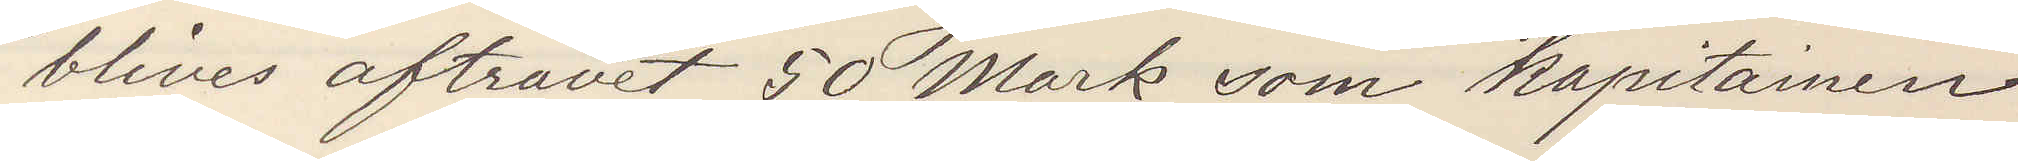blive aftravet 50 Mark som kapitainen
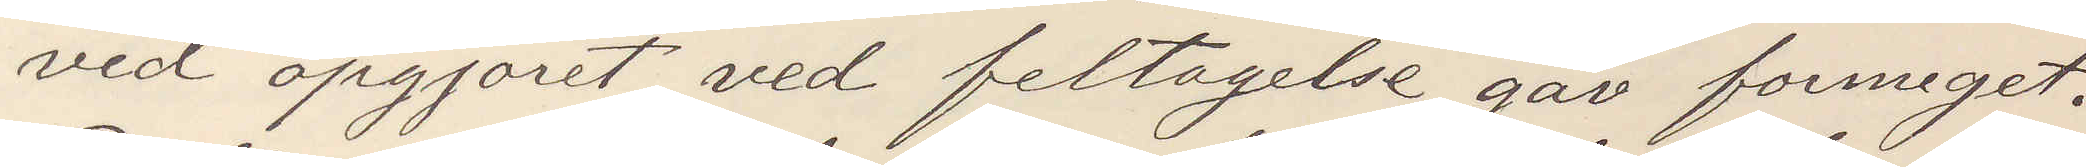ved opgjoret ved feltagelse gav formeget.
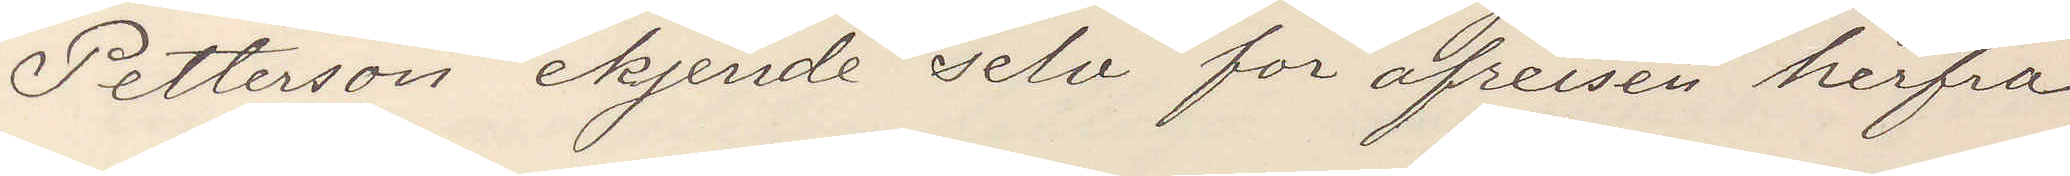Pettersson ekjende selv for afreisen herfra
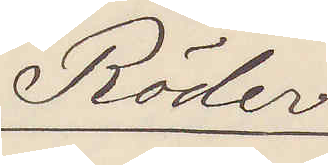Röder
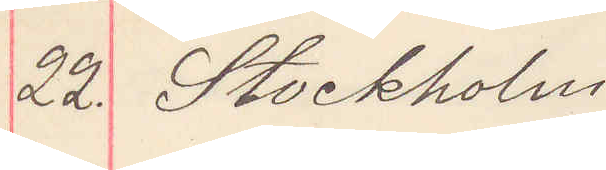22. Stockholm
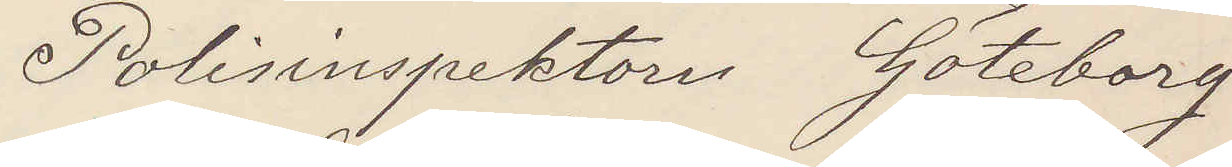Polisinspektorn Göteborg
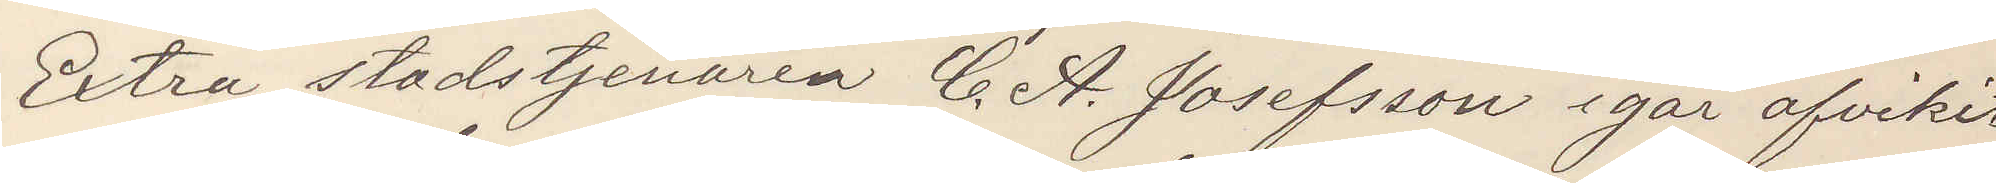Extra stadstjenaren C. A. Josefsson igår afvikit
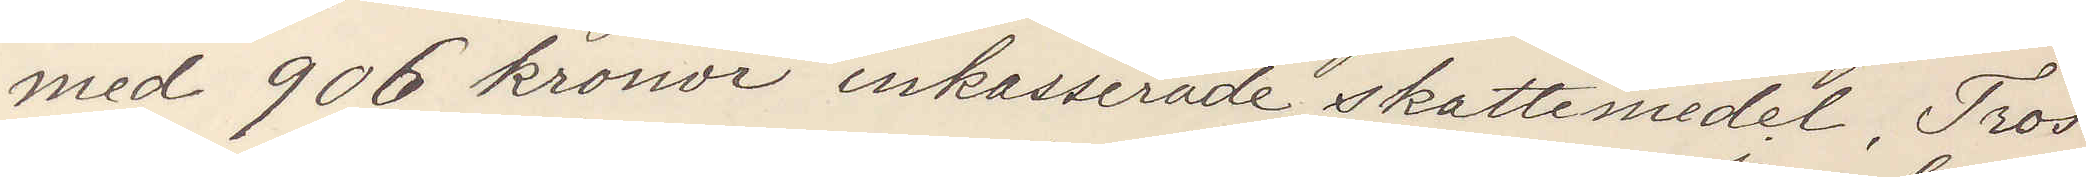med 906 kronor inkasserade skattemedel. Tros
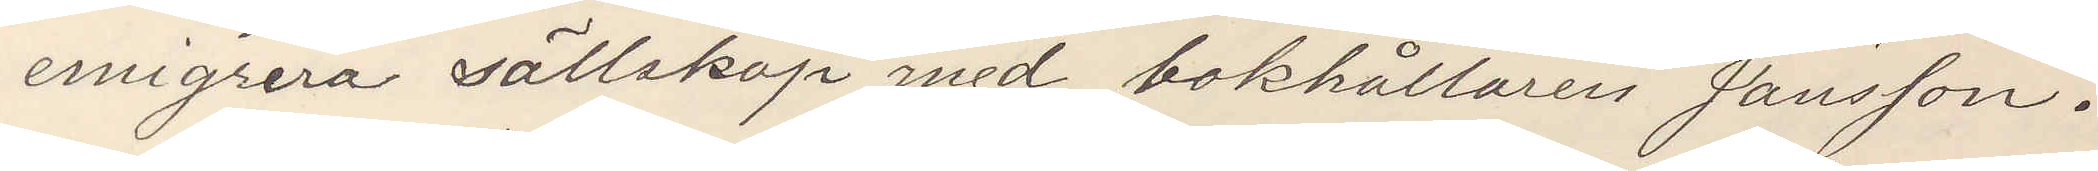emigrera sällskap med bokhållaren Jansson.
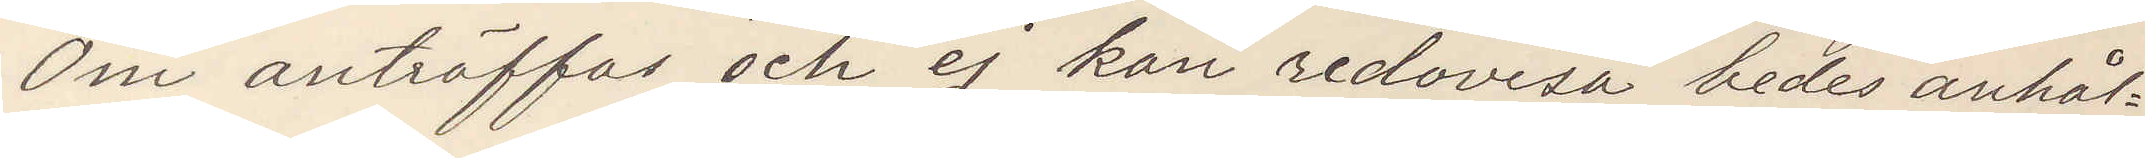Om anträffas och ej kan redovisa bedes anhål¬
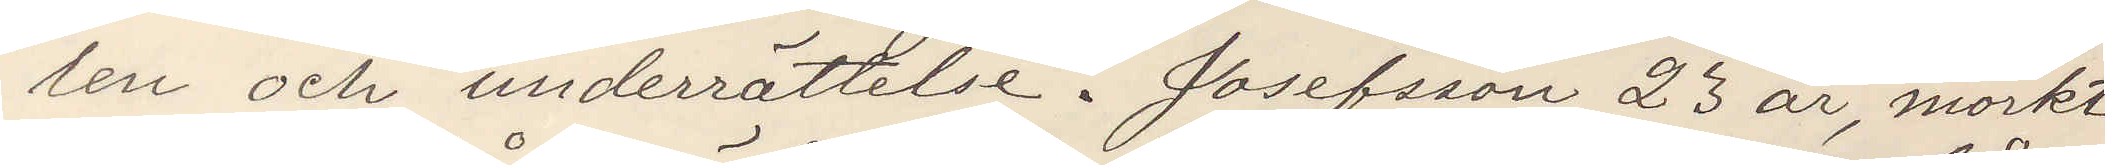len och underrättelse. Josefsson 23 år, mörkt
